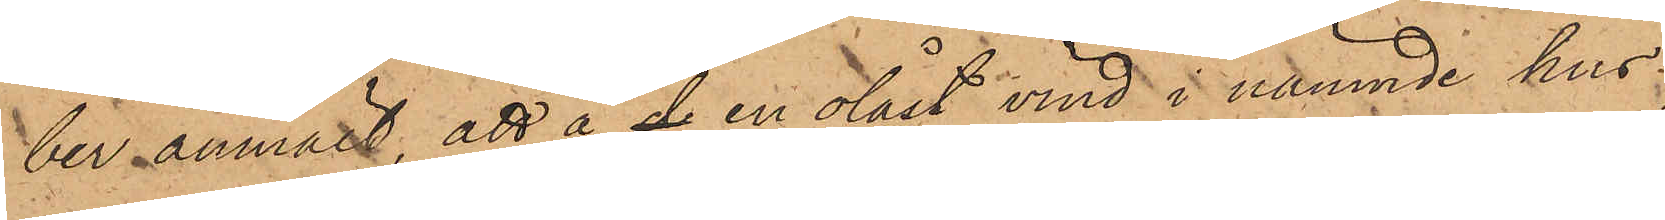ber anmält, att å de en olåst vind i nämnde hus
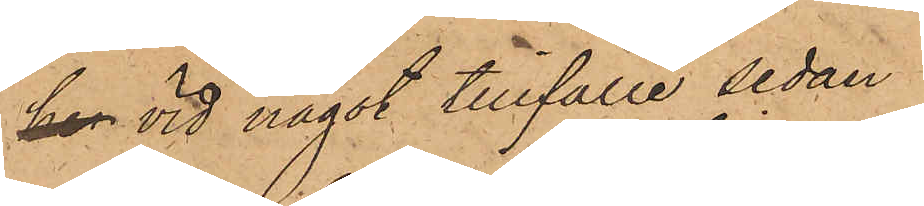har vid något tillfälle sedan
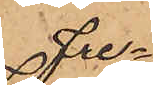Fre¬
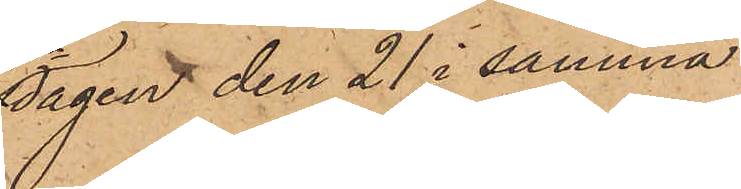dagen den 21 i samma
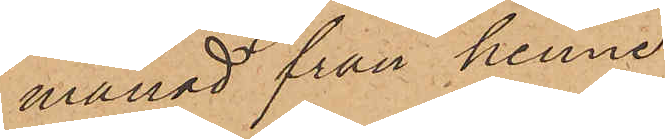månad från henne
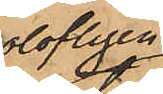olofligen
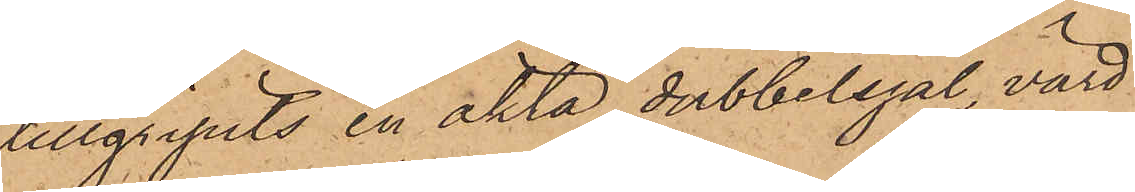tillgripits en äkta dubbelsjal, värd
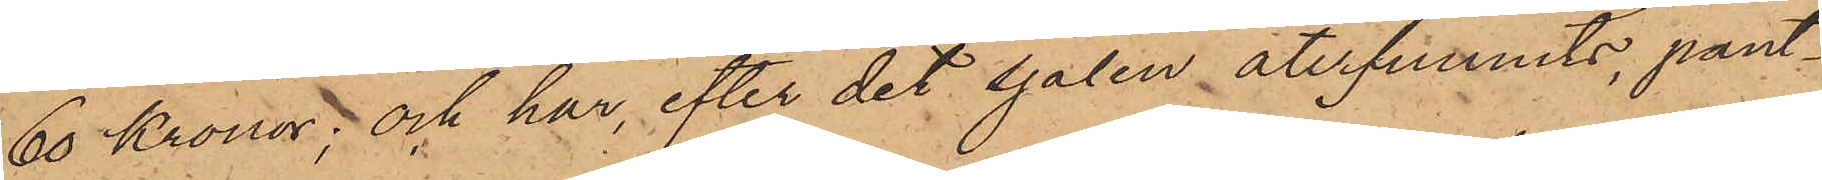60 Kronor; och har, efter det sjalen återfunnits, pant¬
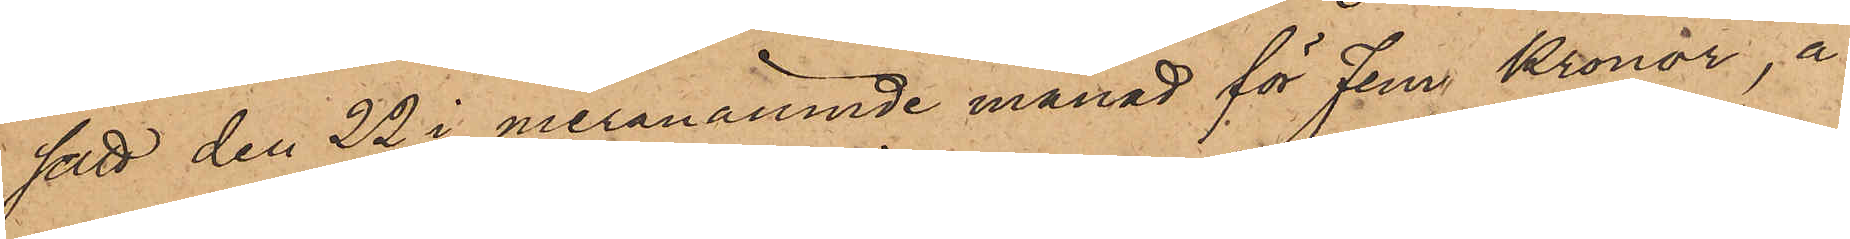satt den 22 i meranämnde månad för Fem Kronor, å
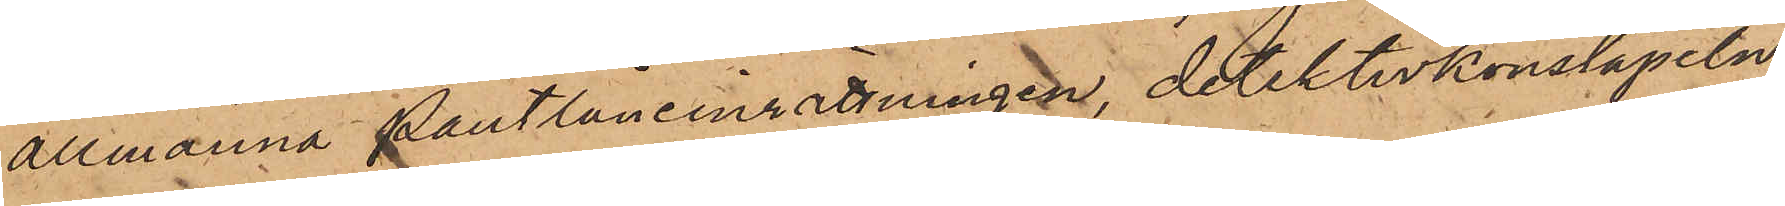allmänna Pantlåneinrättningen, detektivkonstapeln
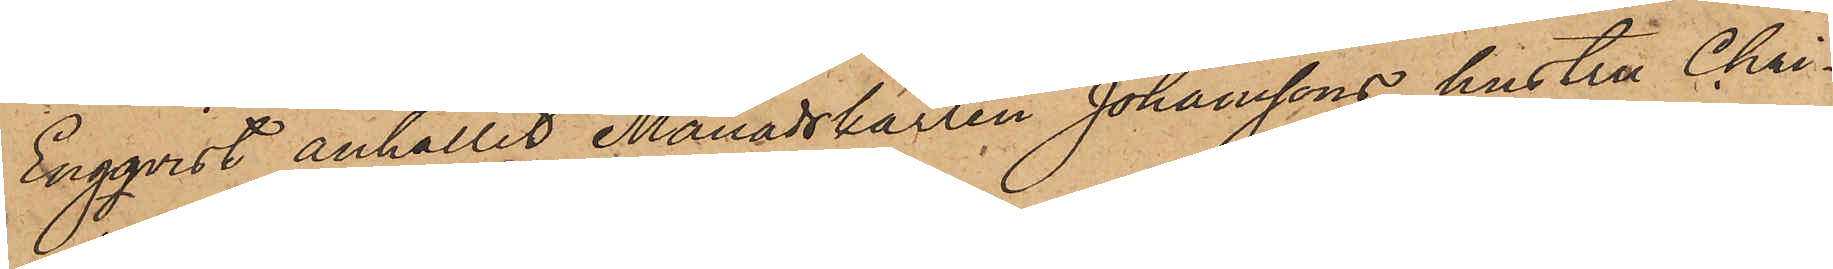Engqvist anhållit Månadskarlen Johanssons hustru Chri¬
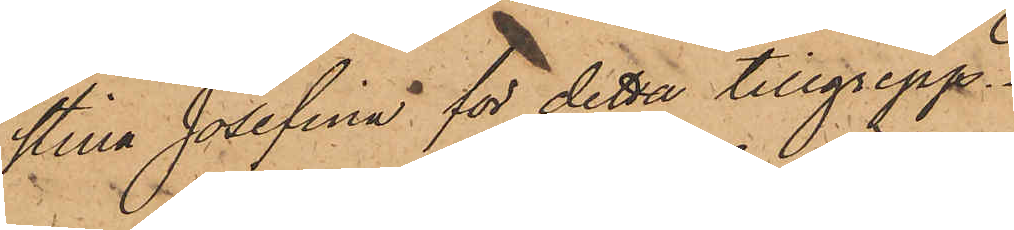stina Josefina för detta tillgrepp.
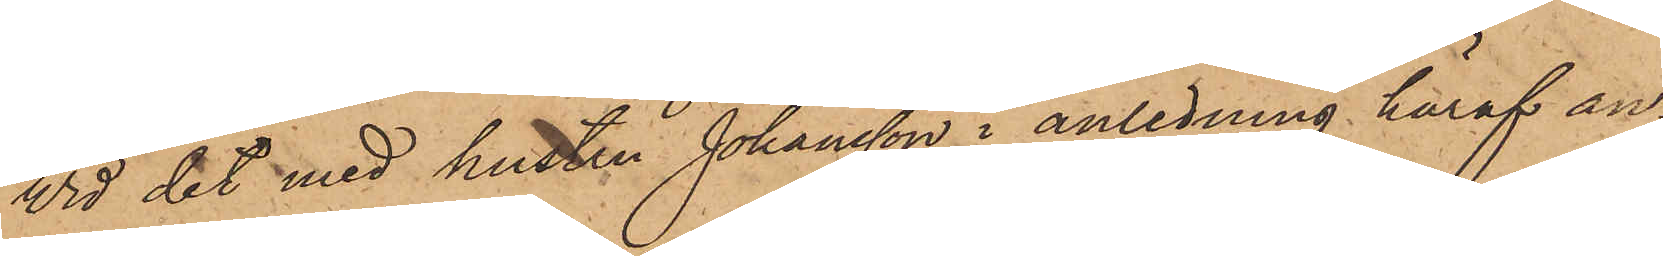Vid det med hustru Johansson i anledning häraf an¬
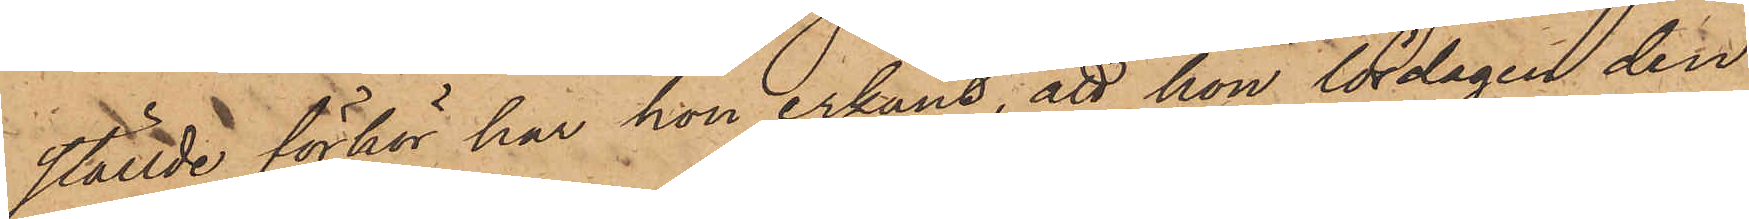ställde förhör har hon erkänt, att hon lördagen den
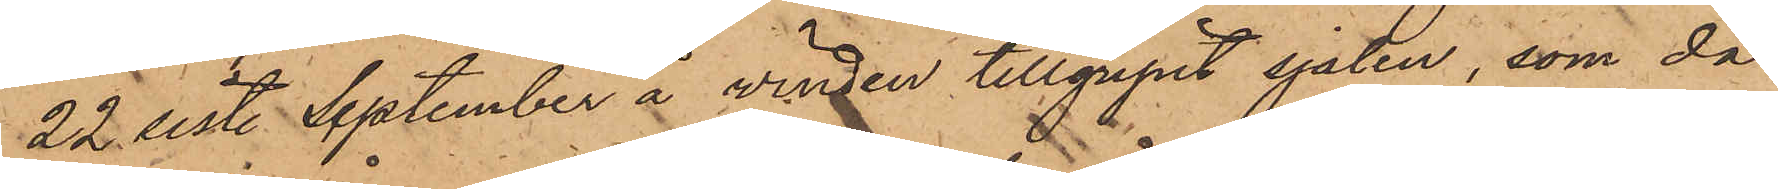22 sist. September å vinden tillgripit sjalen, som då
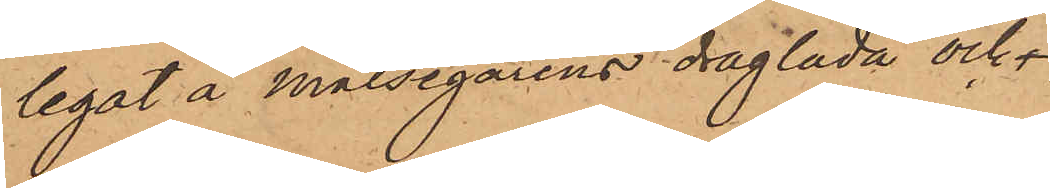legat å målsegarens draglåda och
